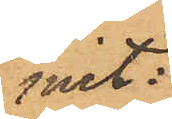mit:
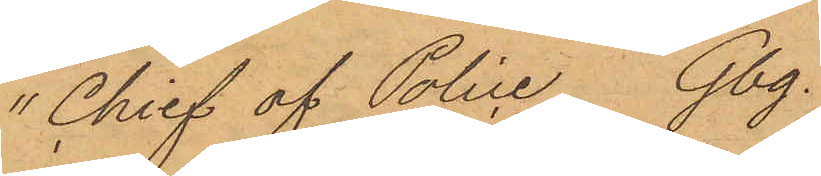"Chief of Police Gbg.
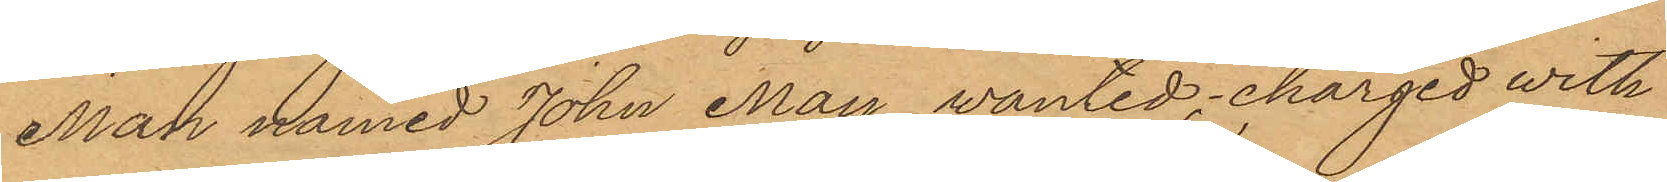Man named John May wanted, charged with
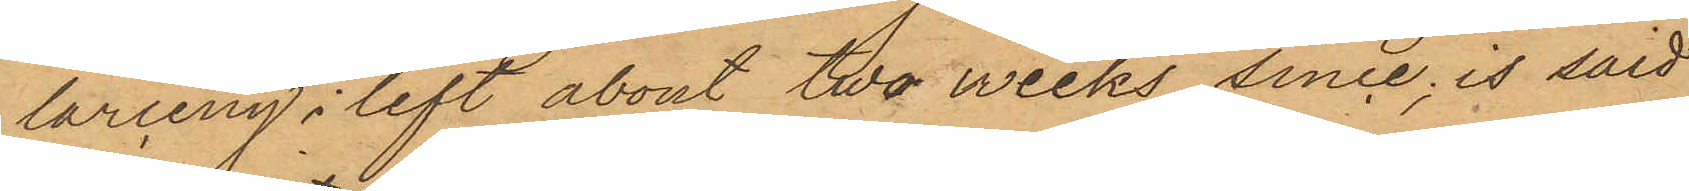larceny; left about two weeks since, is said
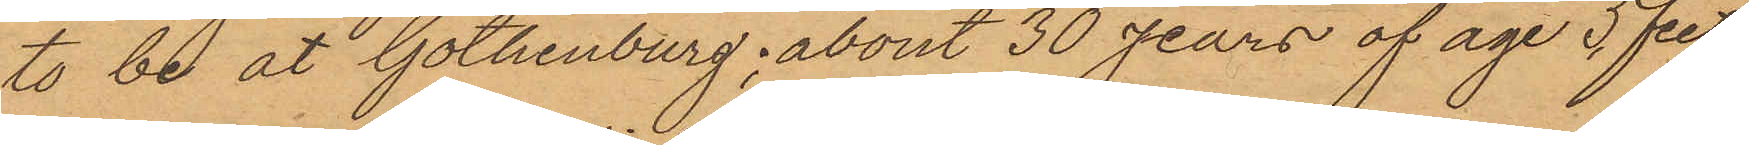to be at Gothenburg; about 30 yars af age 5 feet
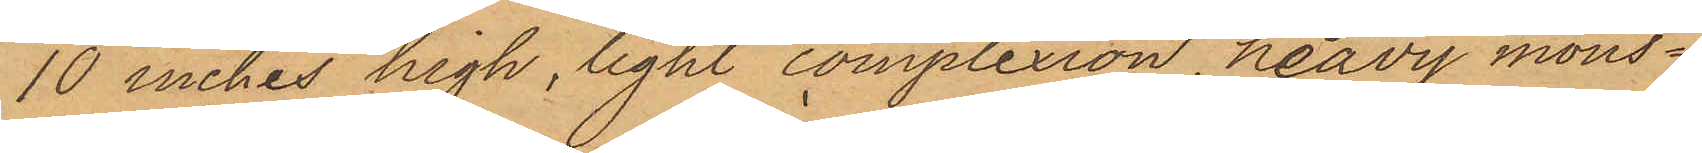10 inches high, light complexion, heavy mous¬
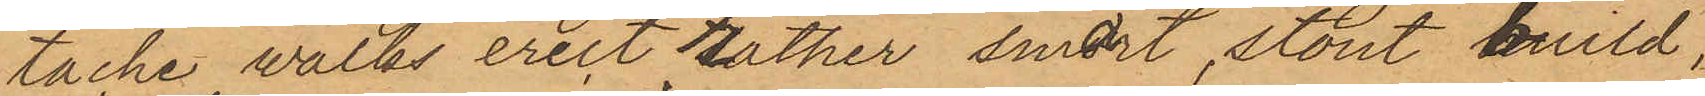tache, walks erect, rather smart, stout build,
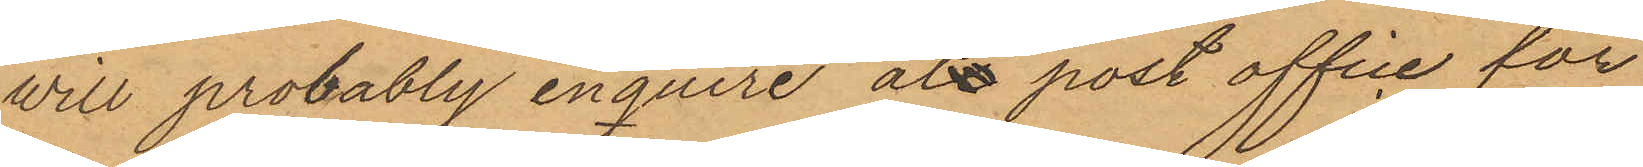will probably enquire at post office for
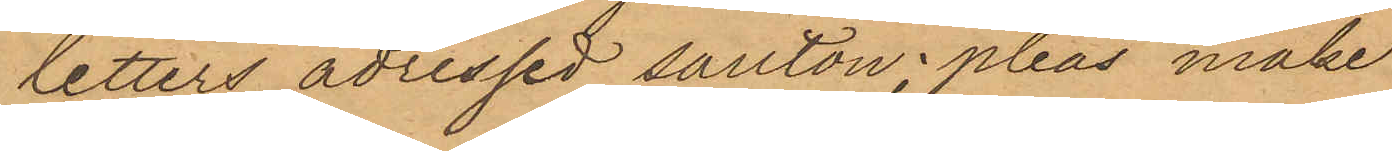letters adressed senton. please make
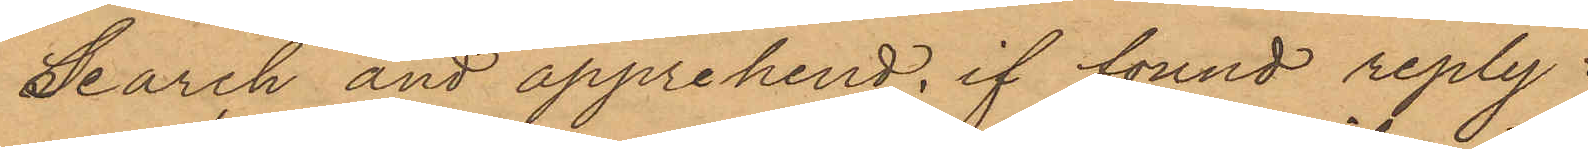search and apprehend, if tound reply
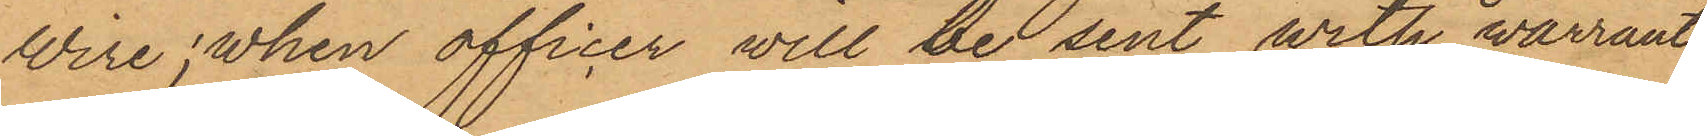wire; when officer will be sent with warrant
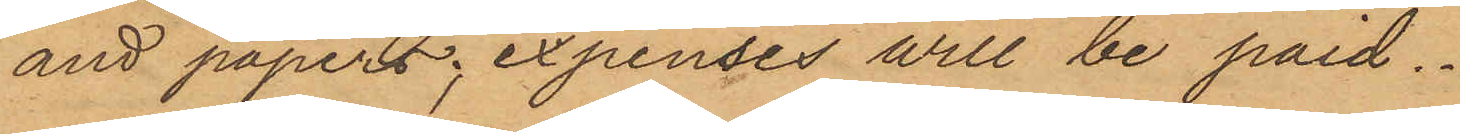and papers; expenses will be paid.
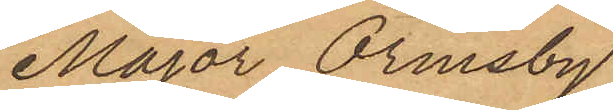Major Ormsby
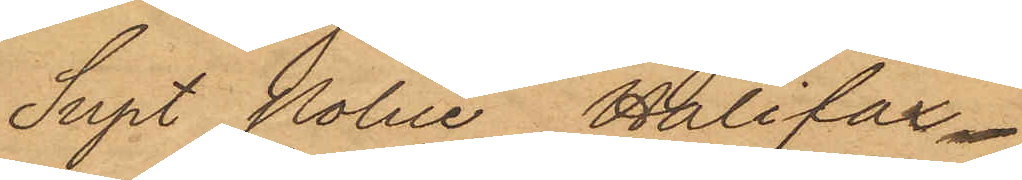Supt Police Halifax.
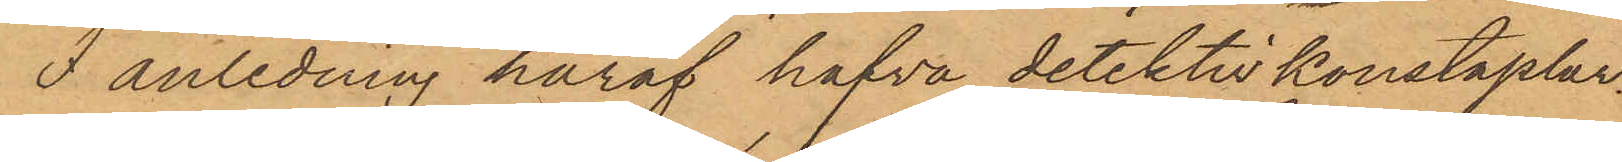I anledning häraf hafva detektivkonstaplar¬,
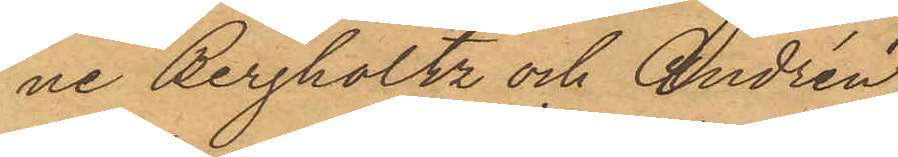ne Bergholtz och Andrén
